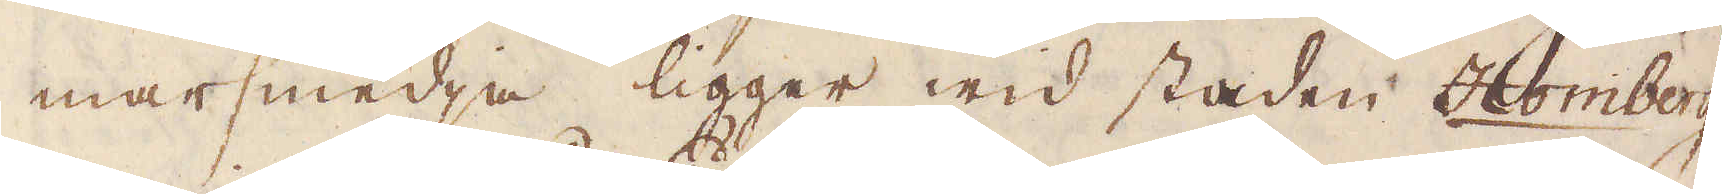marsmedja ligger wid staden Homberg
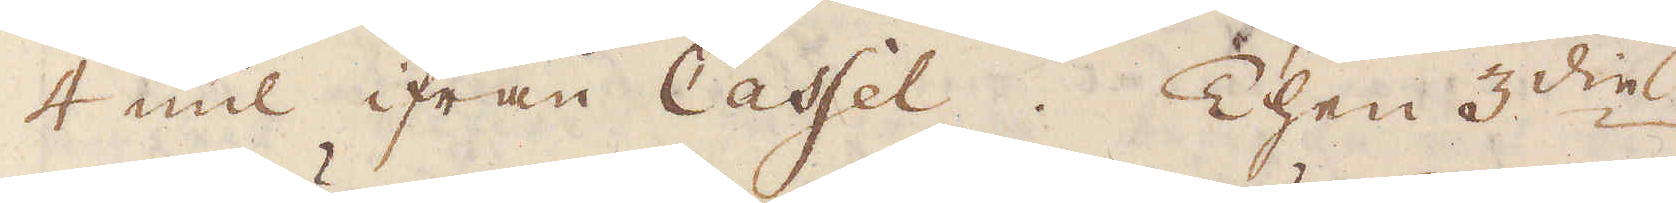4 mil ifrån Cassel. Then 3:die
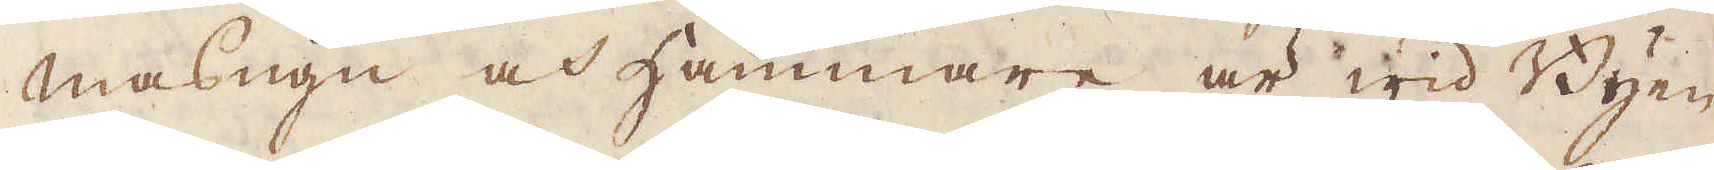masugn och Hammare är wid Byen
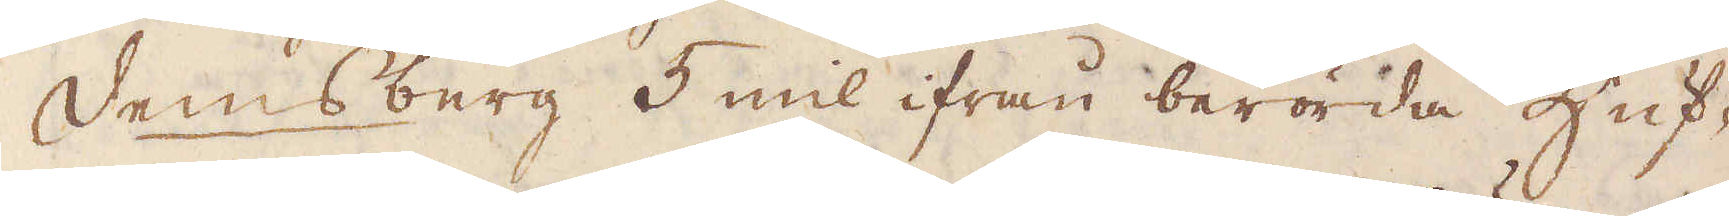Demsberg 5 mil ifrån berörda Huf-
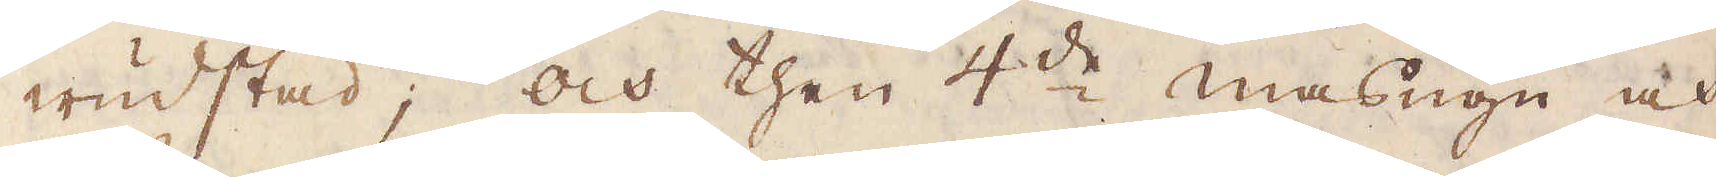wudstad; och then 4:de masugn och
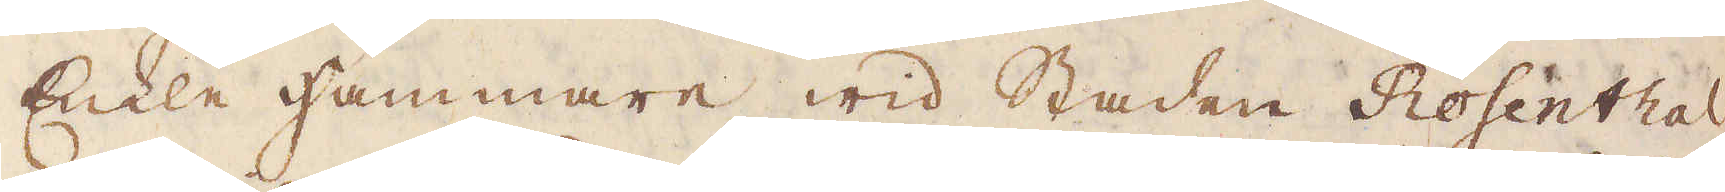Enkla hammare wid Staden Rosenthal
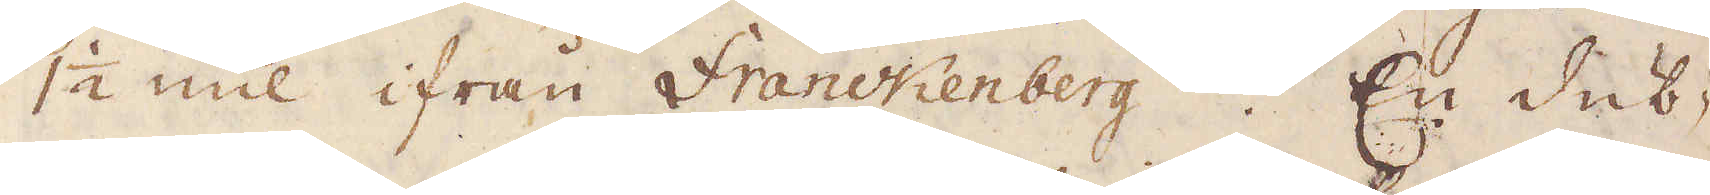1 1/2 mil ifrån Franckenberg. En dub-
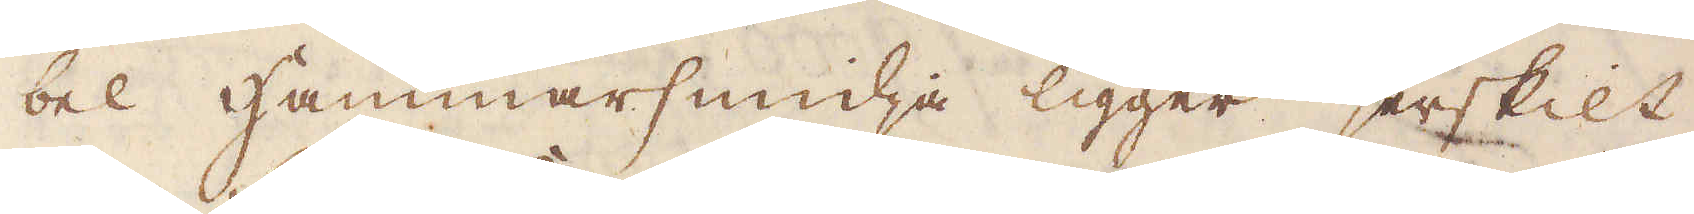bel Hammarsmidja ligger serskilt
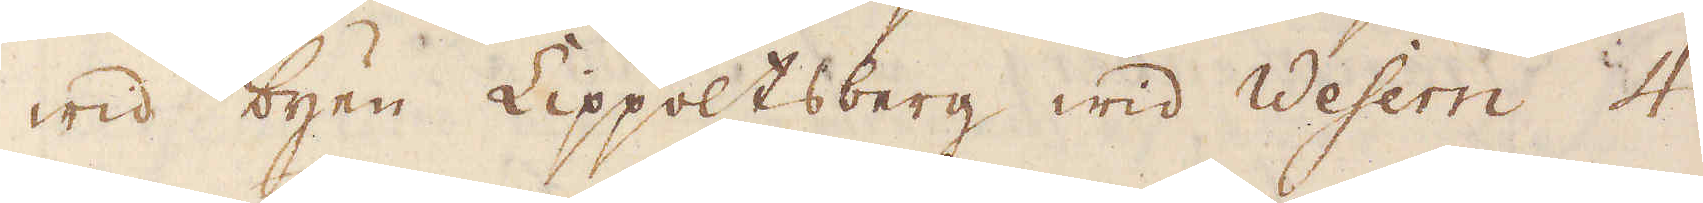wid byen Lippoltsberg wid Wesern 4
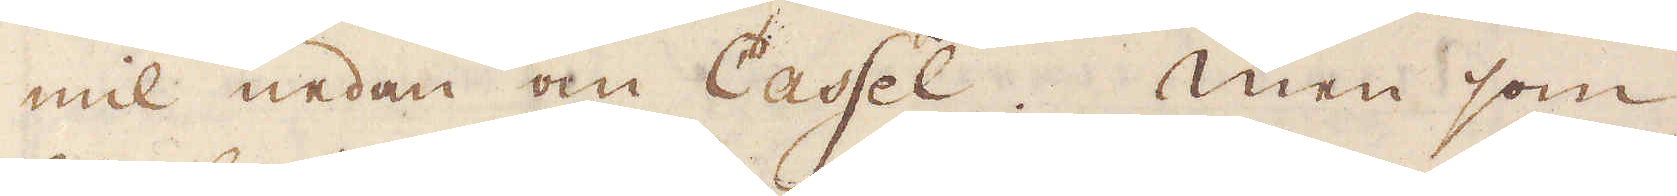mil nedan om Cassel. Men som
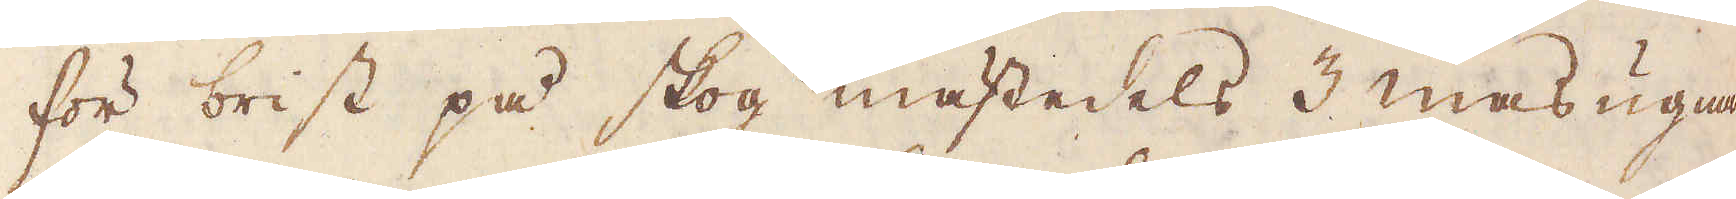för brist på skog mästedels 3 masugnar
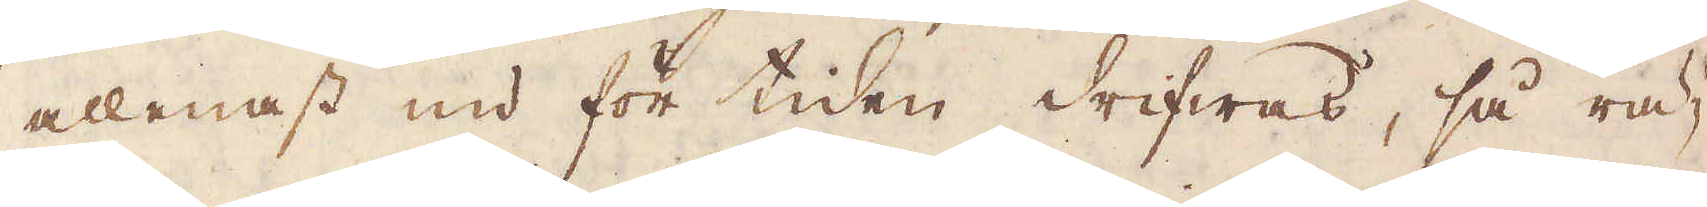allenast nu för tiden drifwas, så rä-
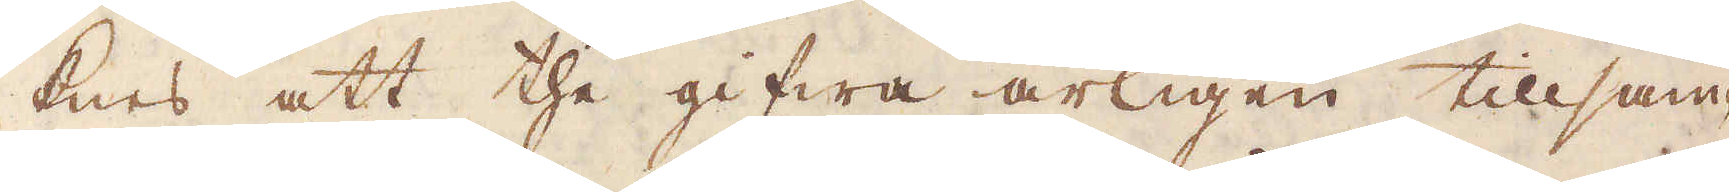knes att the gifwa årligen tillsam-
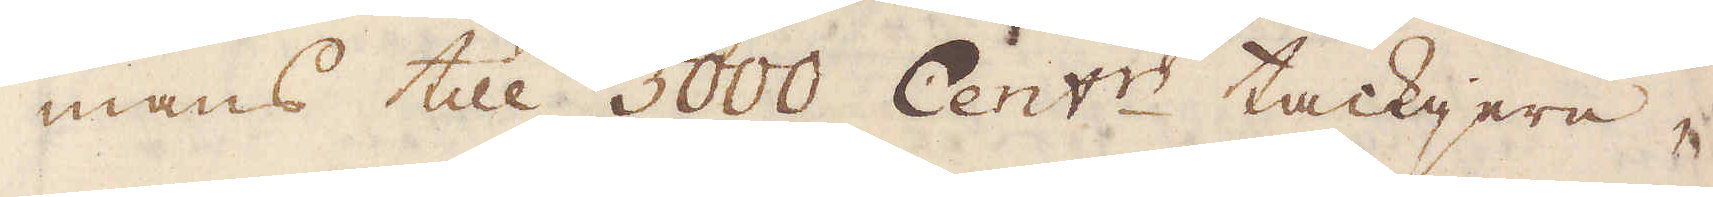mans till 5000 Cent:r tackjern,
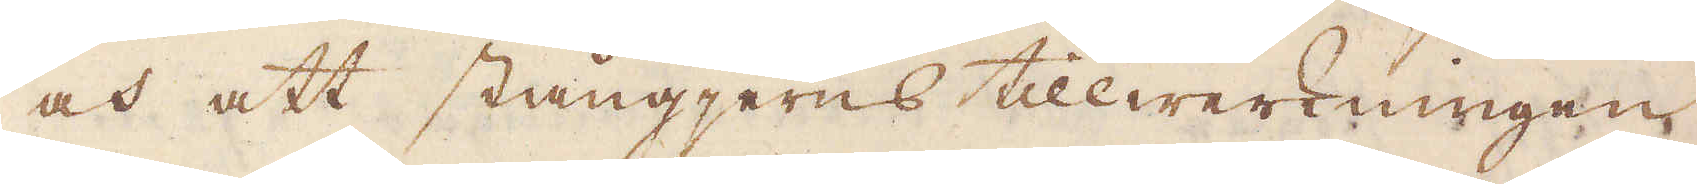och att stångjerns tillwerkningen
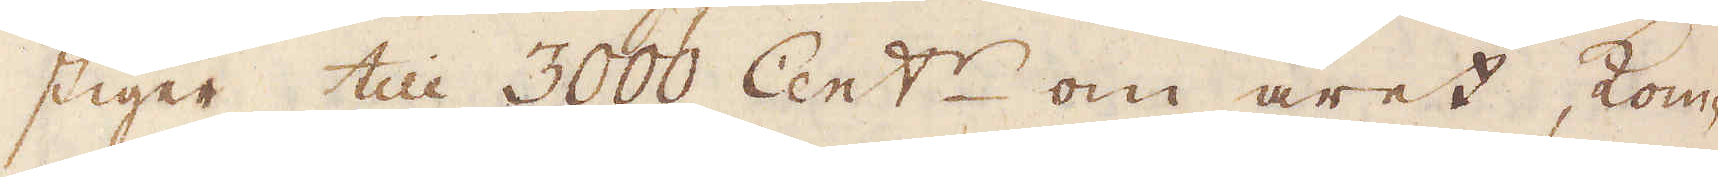stiger till 3000 Cent:r om året, kom-
